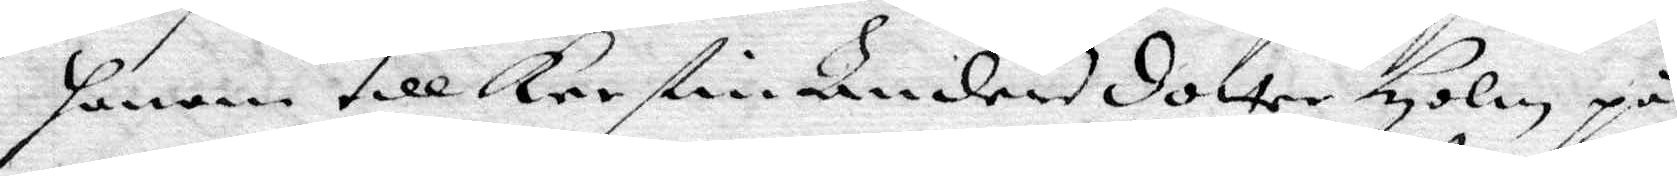henne till Kerstin Andersdotter Holm, på
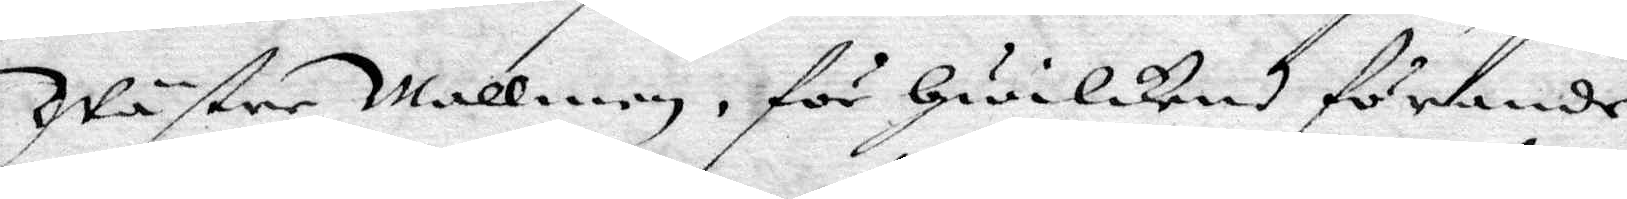Wäster Wallen, för hwilket förande
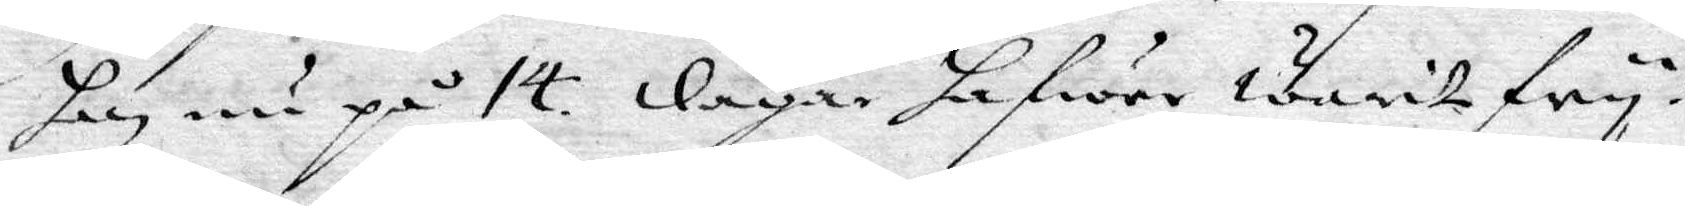hon nu på 14 dagar hafwer Warit fry.
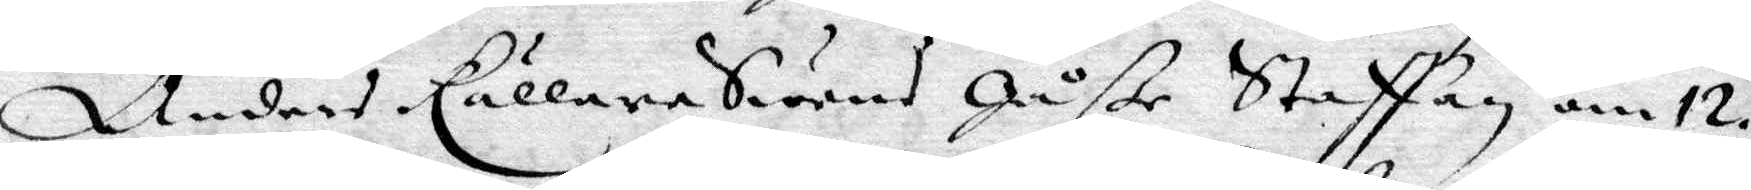Anders KällereSwens gåße Staffan om 12
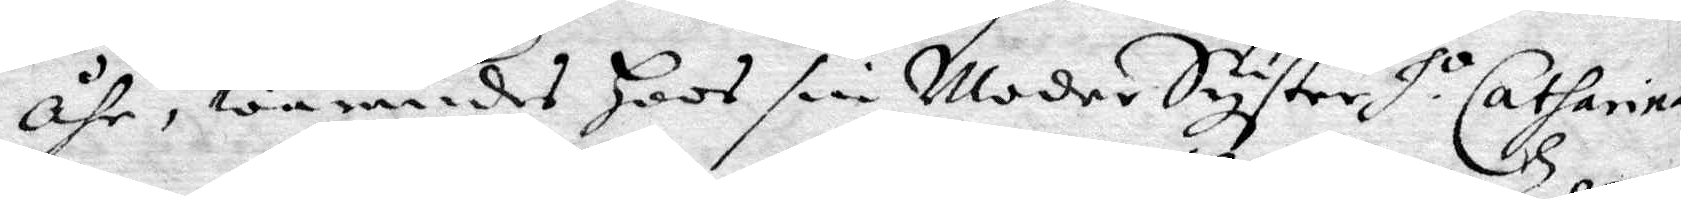åhr, warandes Hoos sin ModerSyster H.o Catharina
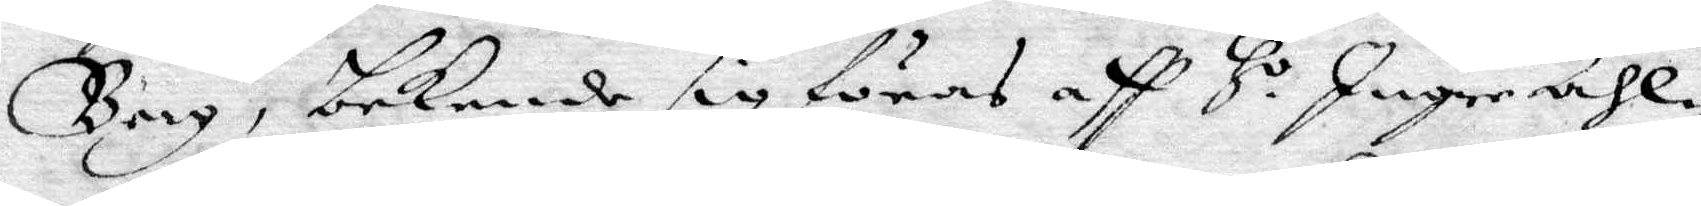Bergm bekende sig föras aff H.o Inger Ahl¬
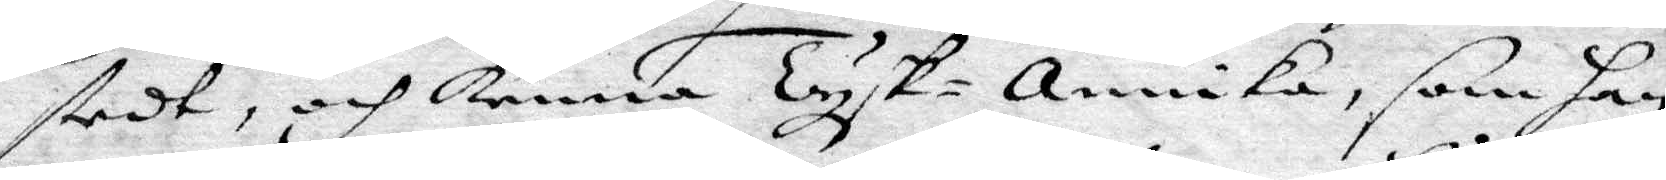stedt, och Kanna Tysk-annika, som han
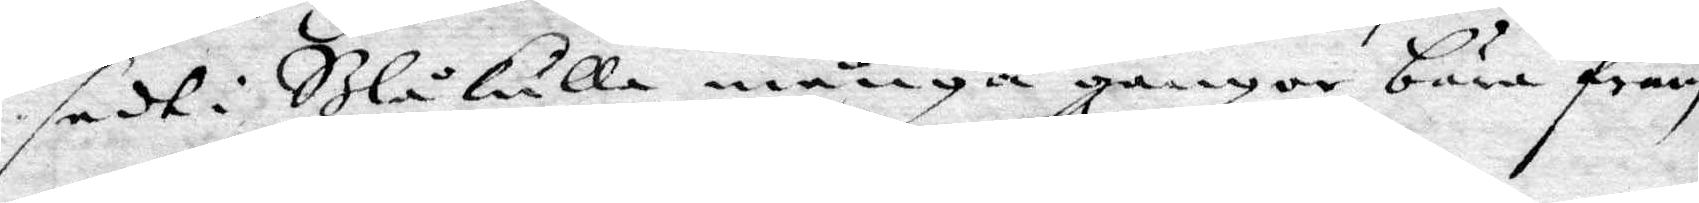sedt i Blåkulla många gånger bära fram
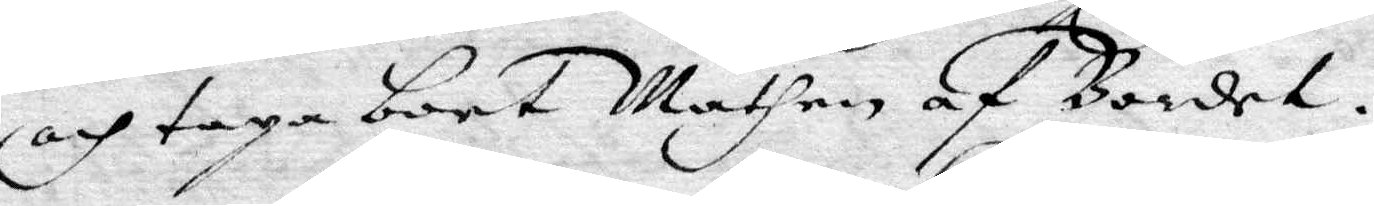och taga bort Mathen af Bordet.
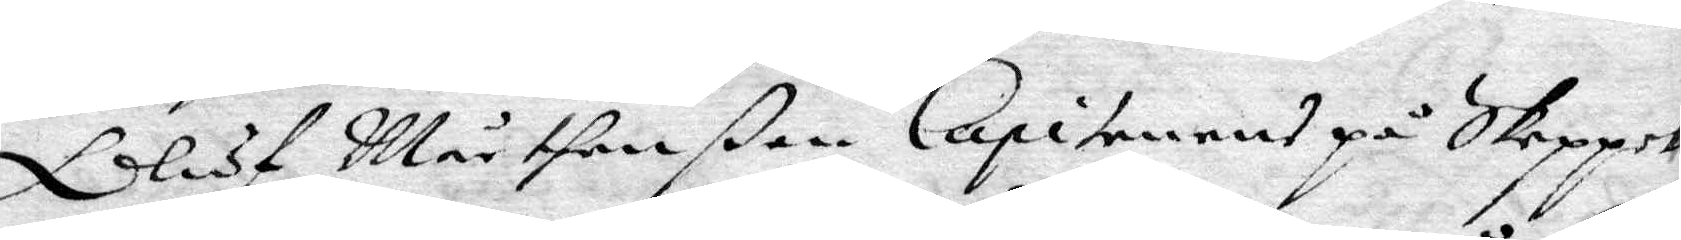Oluf Mårtenßon Capitenes på Skepper
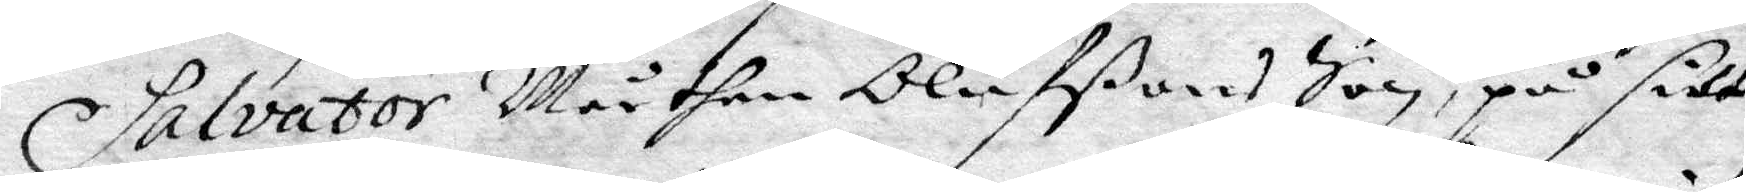Salator Mårthen Olufßons Son, på sitt
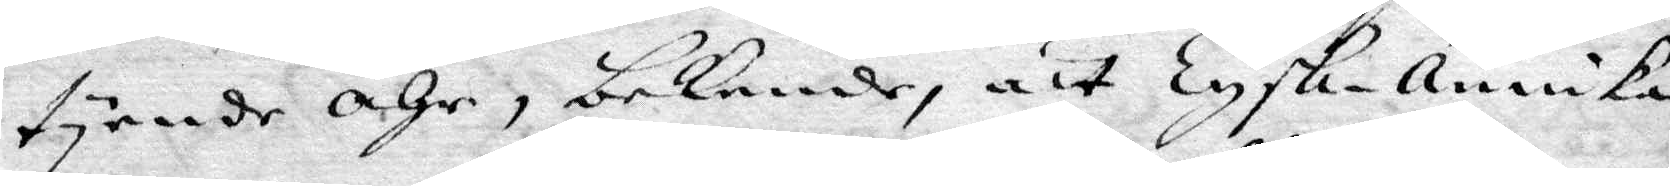tyende åhr, bekende, att Tysk-annika
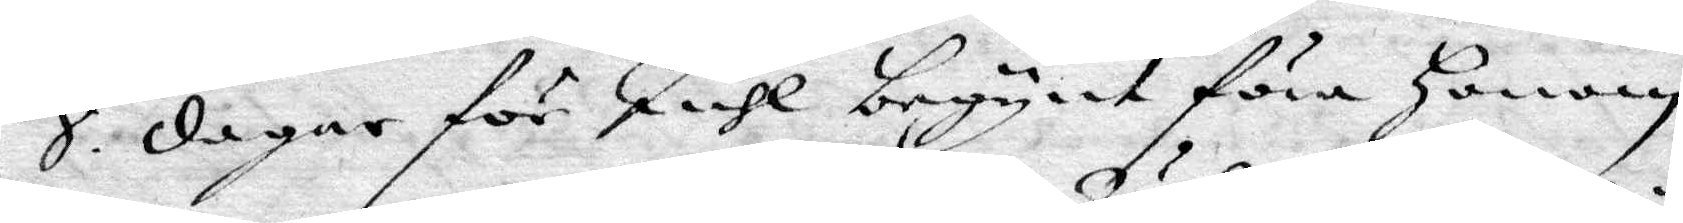8. dagar för Juhl begynt föra honom
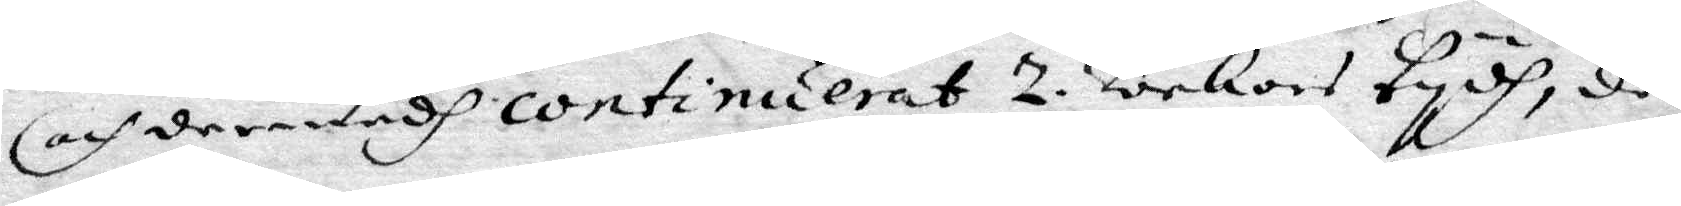och dermedh continuerat 2. Wekors tydh, då
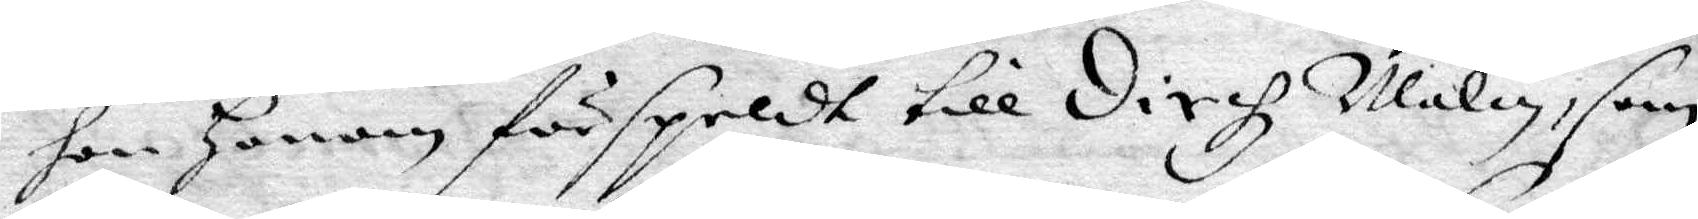han henne förspeldt till dirhz Malin, som
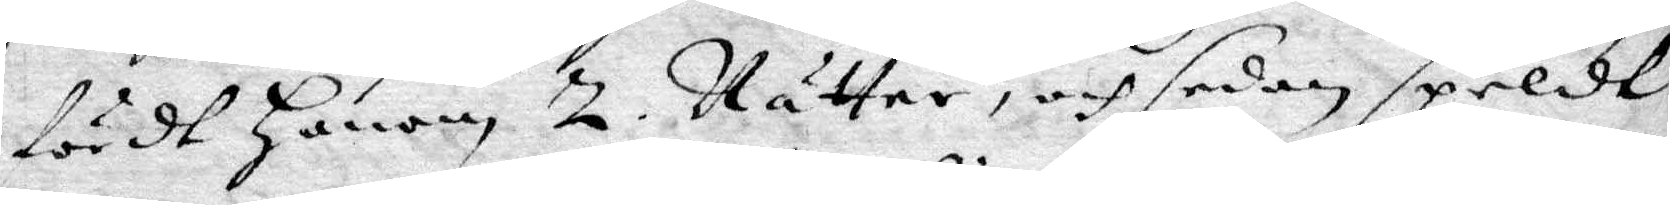först honom 2. Nätter, och sedan speldt
